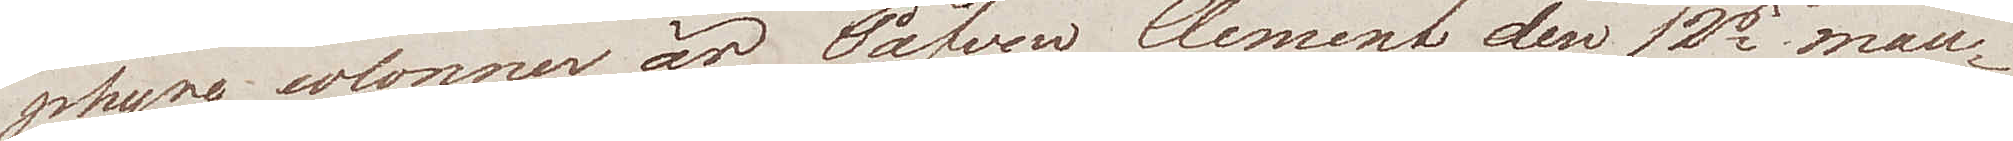phyre colonner är Påfven Clement den 12s mau¬
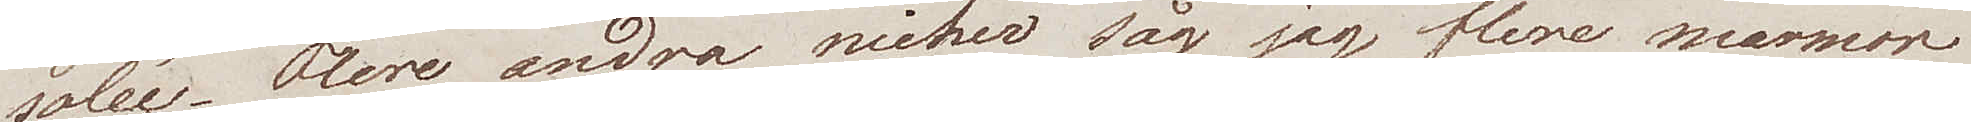solée. Flere andra nicher såg jag flere marmor
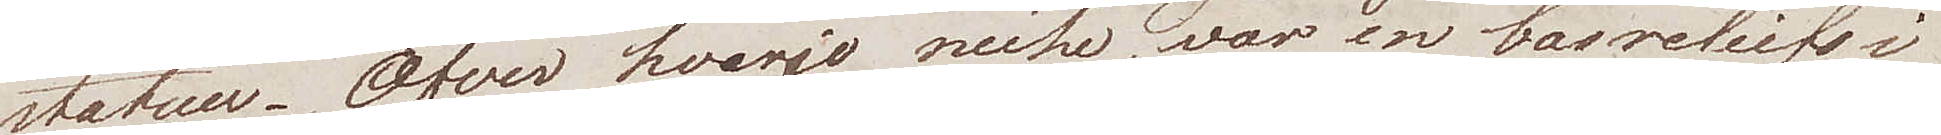statuer. Öfver hvarje niche, var en basreliefs i
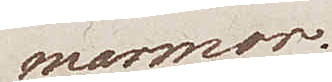marmor.
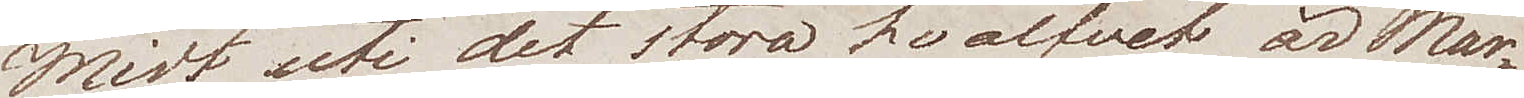Midt uti det stora hvalfvet är Mar¬
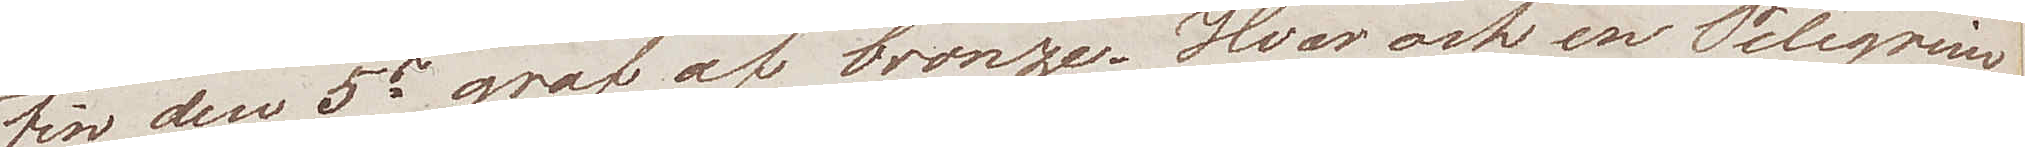tin den 5s graf af bronze. Hvar och en Pelegrim
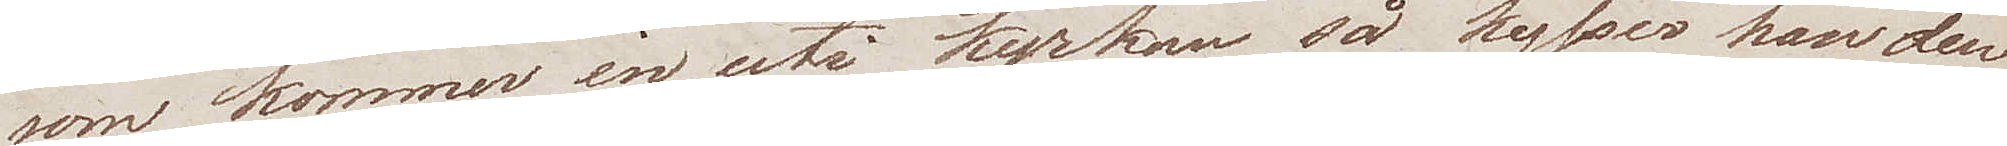som kommer in uti kyrkan så kysser han den¬
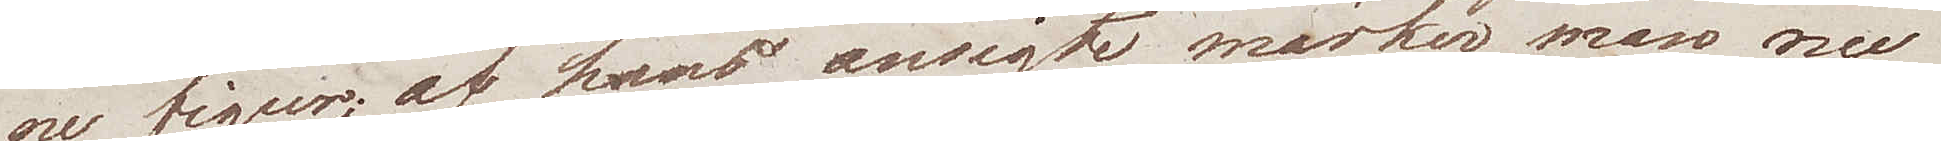ne figur; af hans ansigte märker man nu
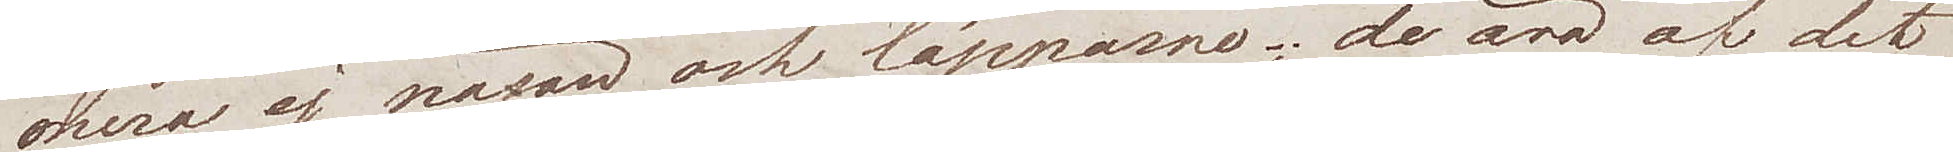mera ej näsan och läpparne; de äro af det
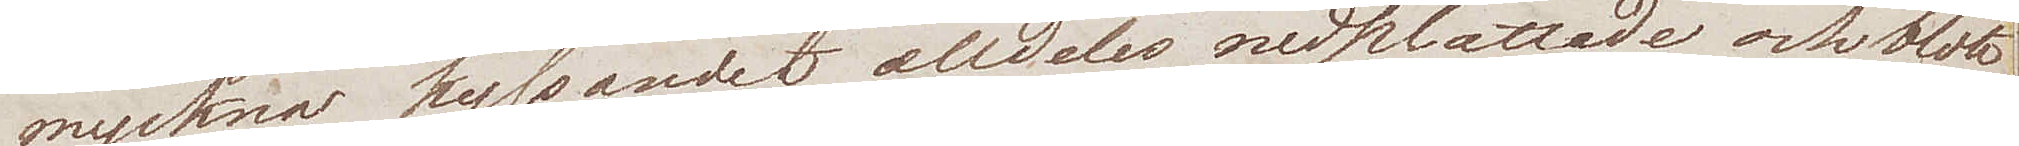myckna kyssandet alldeles nedplattade och blott
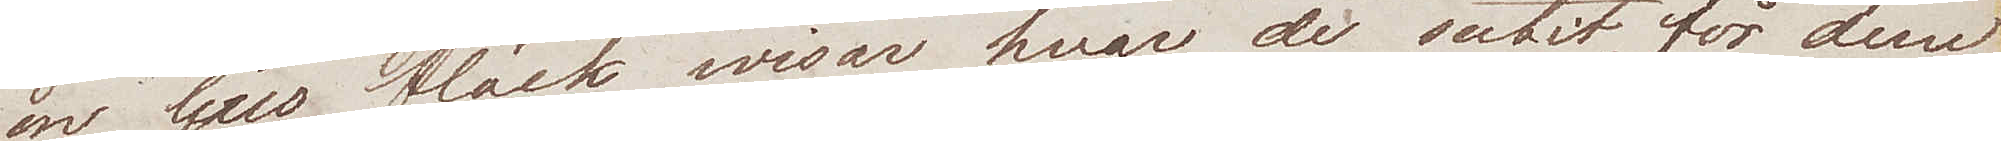en ljus fläck wisar hvar de sutit, för dem
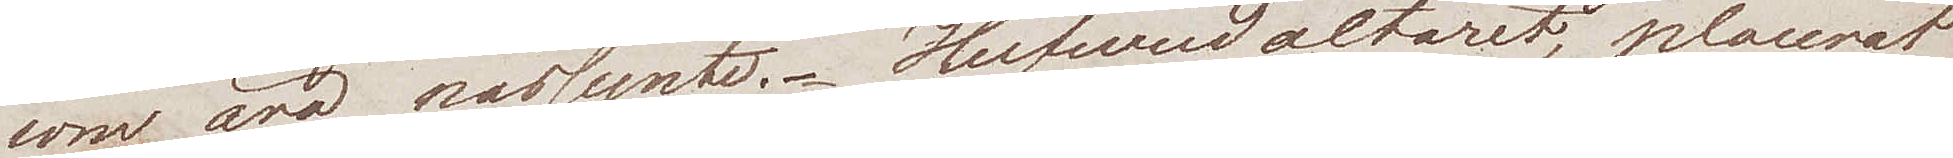som äro närsynte. Hufvudaltaret, placerat
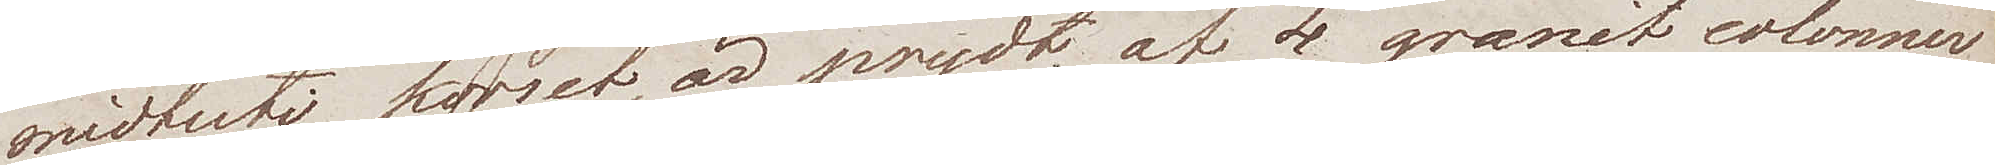midtuti korset, är prydt af 4 granit colonner
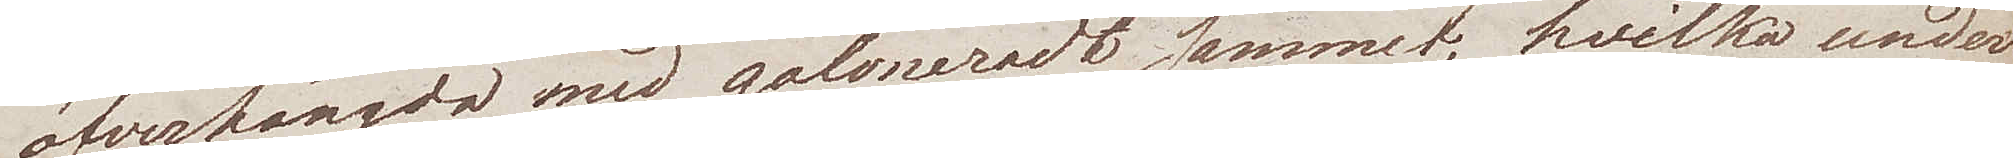öfverhängda med galoneradt sammet, hvilka under¬
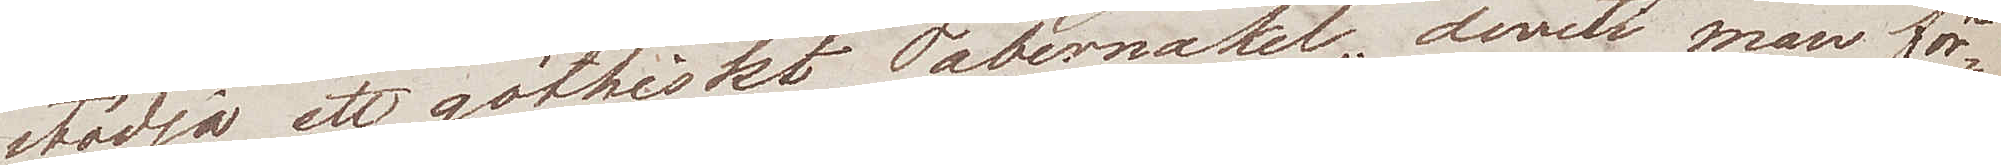stödja ett göthiskt Tabernakel, deruti man för¬
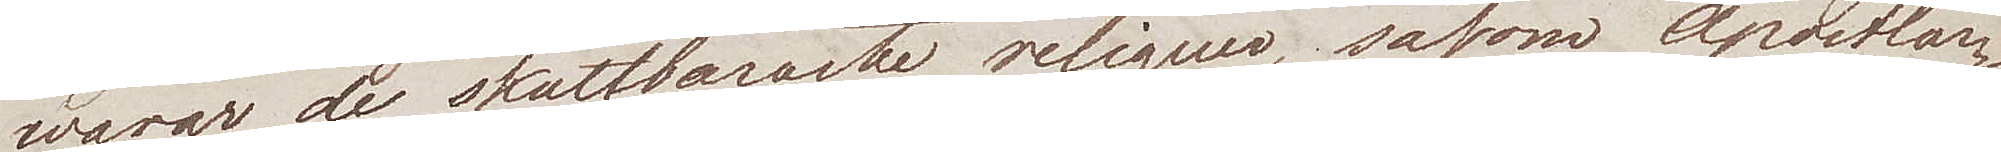warar de skattbaraste reliquer, såsom Apostlar¬
